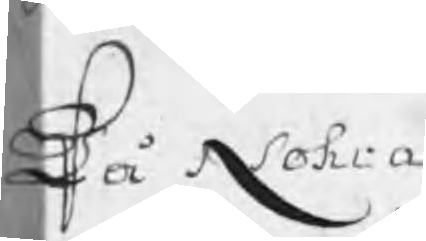På Nohra 1698 Åhrs HammarskattzJärn
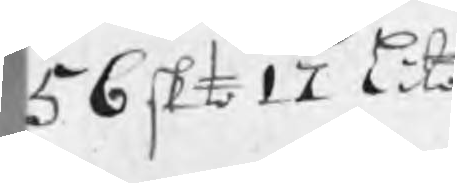56 skt 17 lito
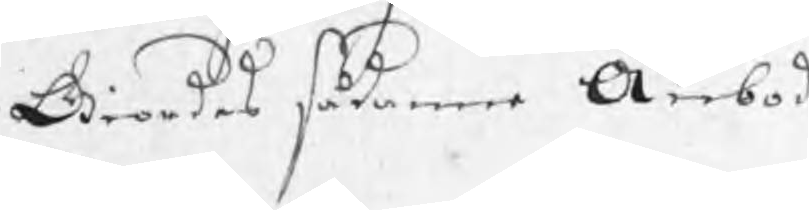Giordes sådanne Anbod
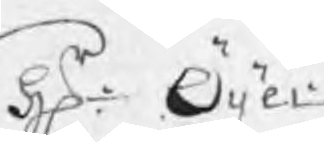Hr: Öijer
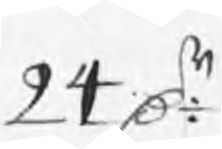24 Dr
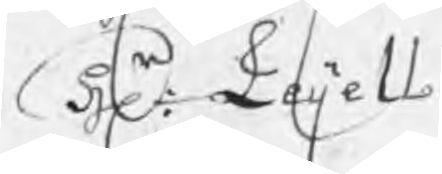Hr: Leijell
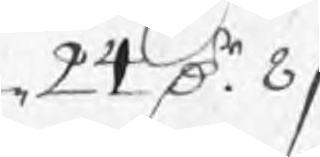24 Dr 8 /:
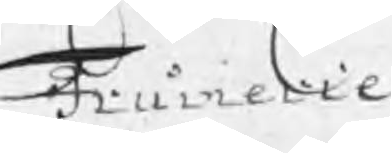Frumerie
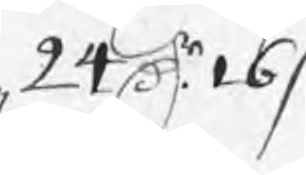24 Dr 16 /:
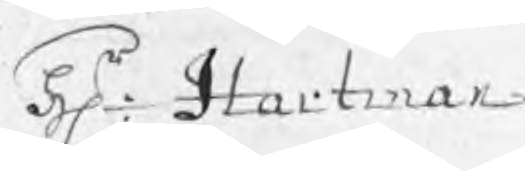Hr: Hartman
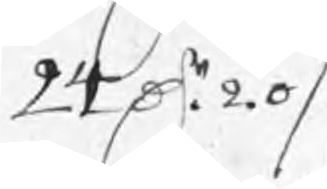24 Dr 20 /:
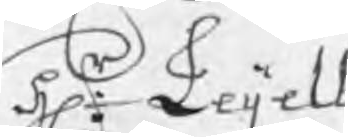Hr: Leijell
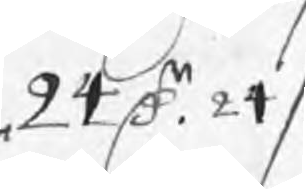24 Dr 24 /:
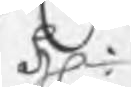Hr:
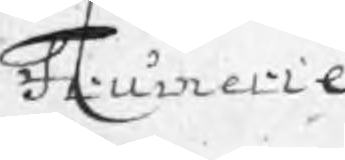Frumerie
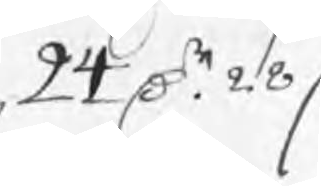24 Dr 28 /:
